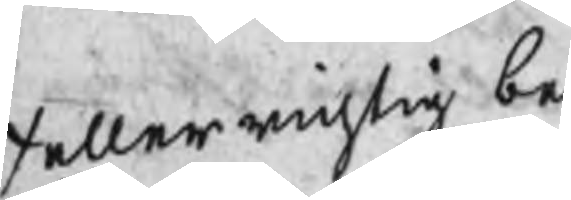/ eller richtig be
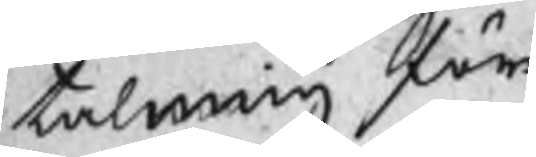talning för
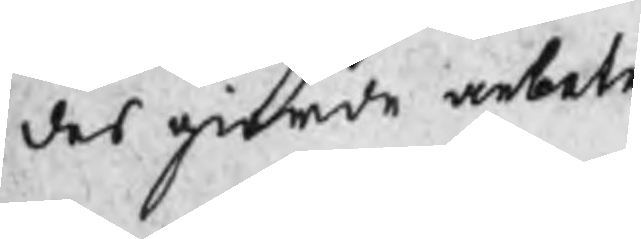des giorde arbete
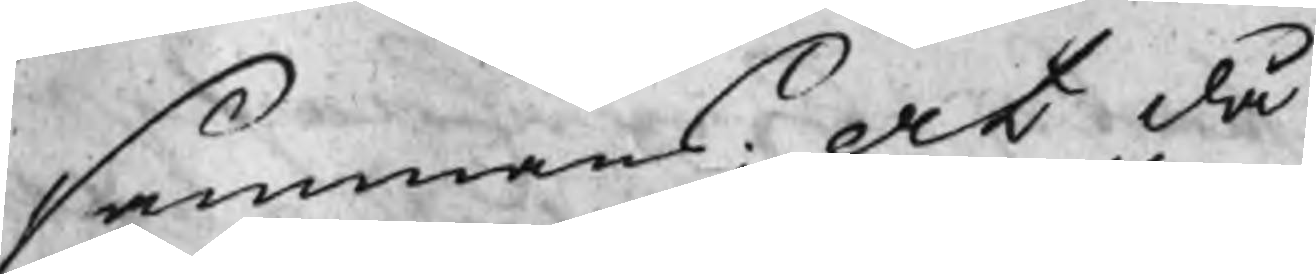sammans: At då
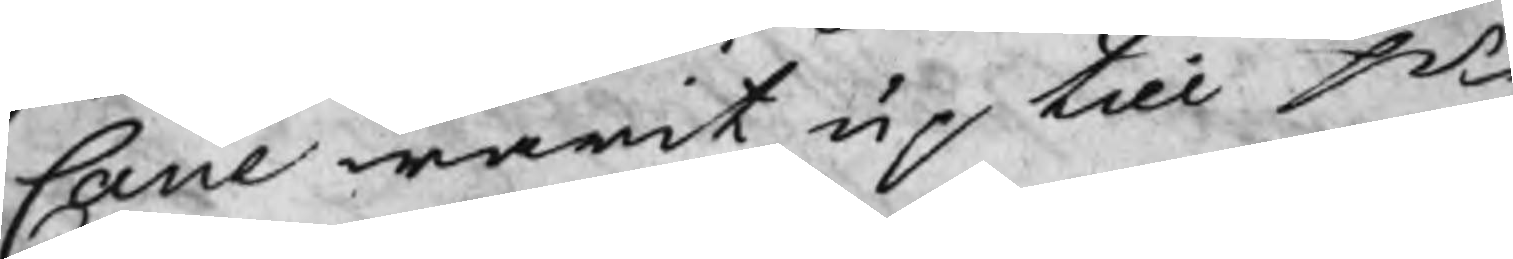Cane warit up till Hr
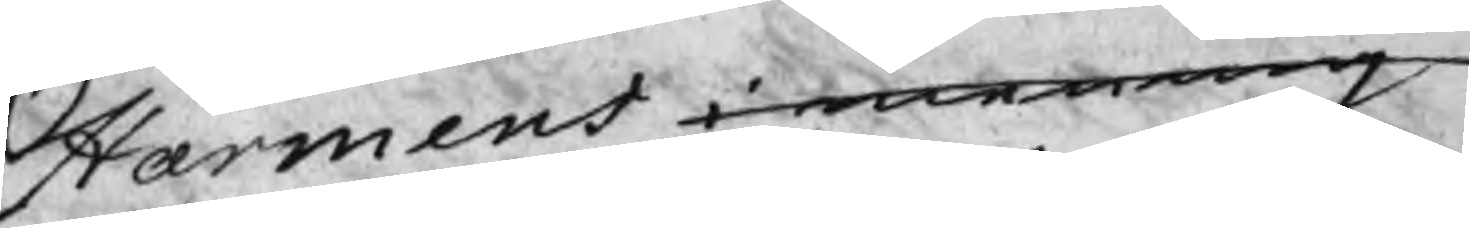Harmens i mening
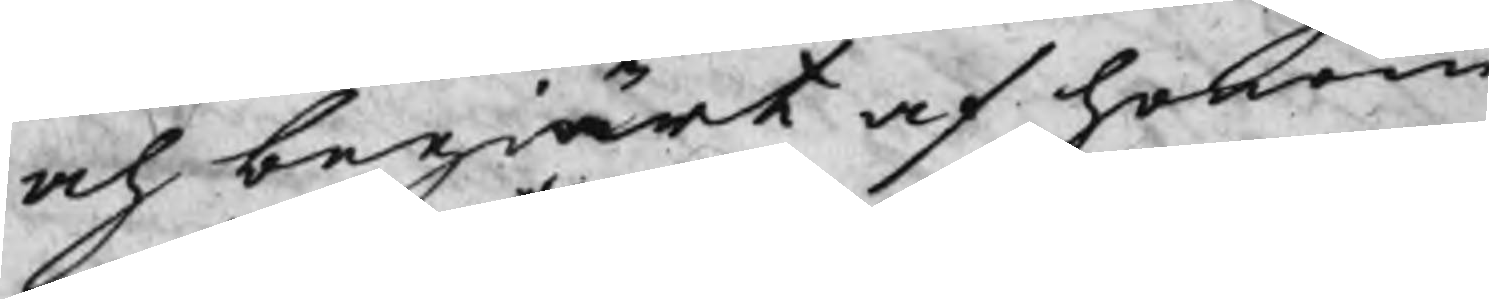och begiärt af honom
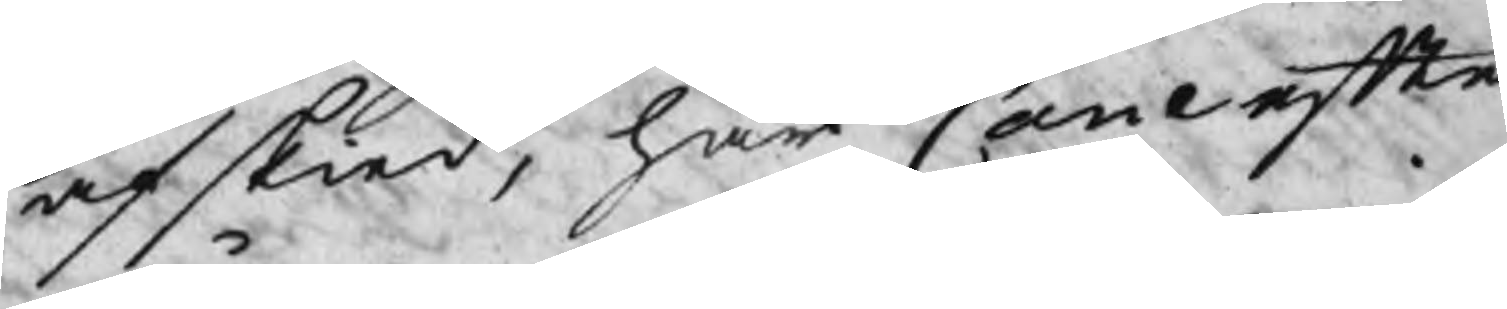afskied, har Cane efter
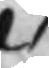/
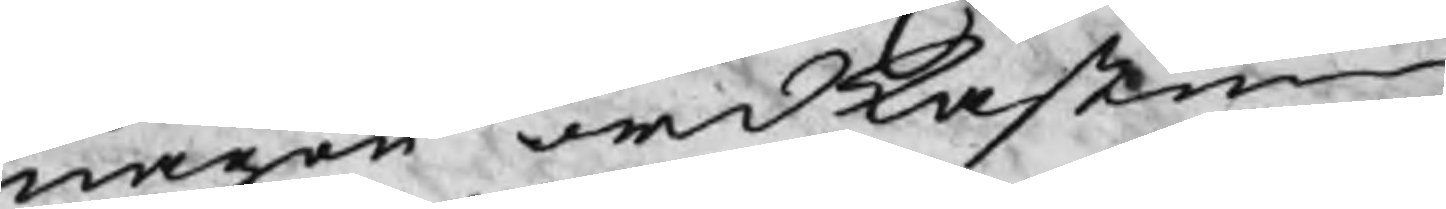någon ordkastning
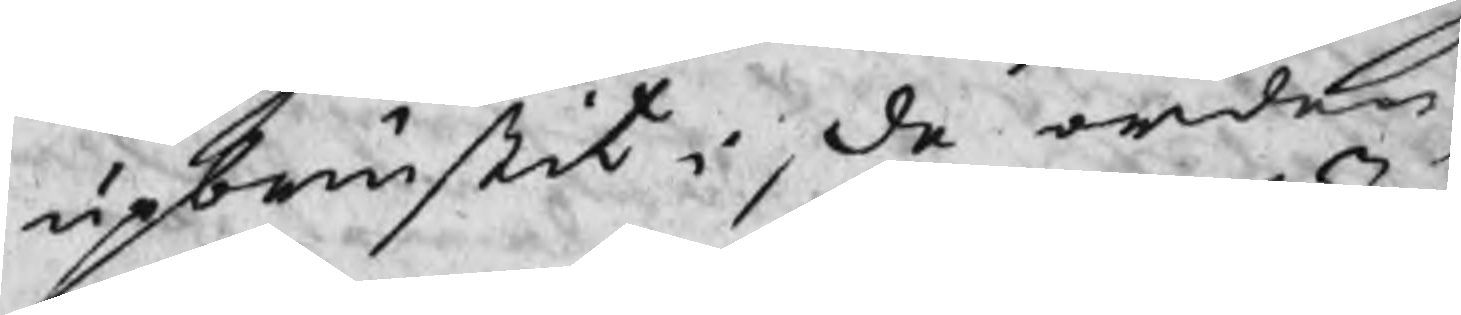upbrustit i, de orden,
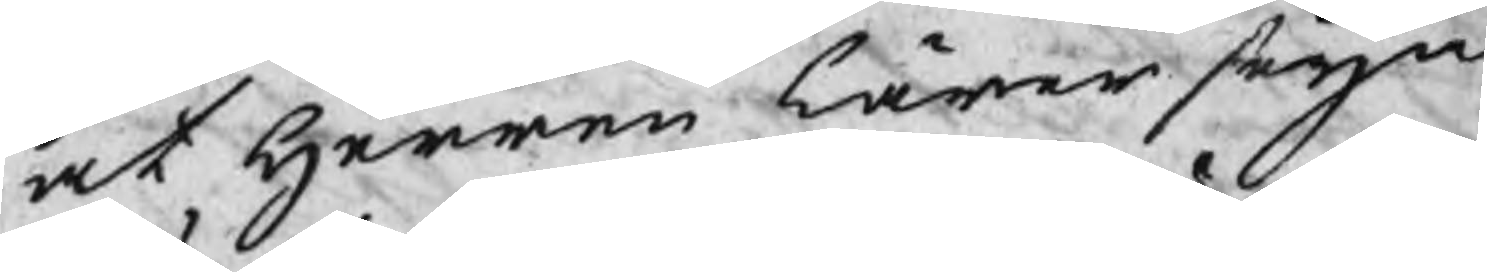at Herren lärer styra
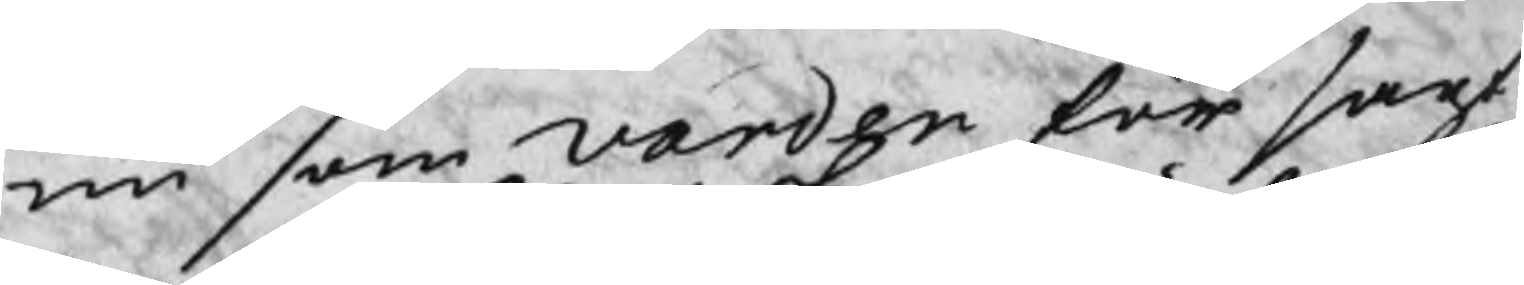nu som Varden för sagt
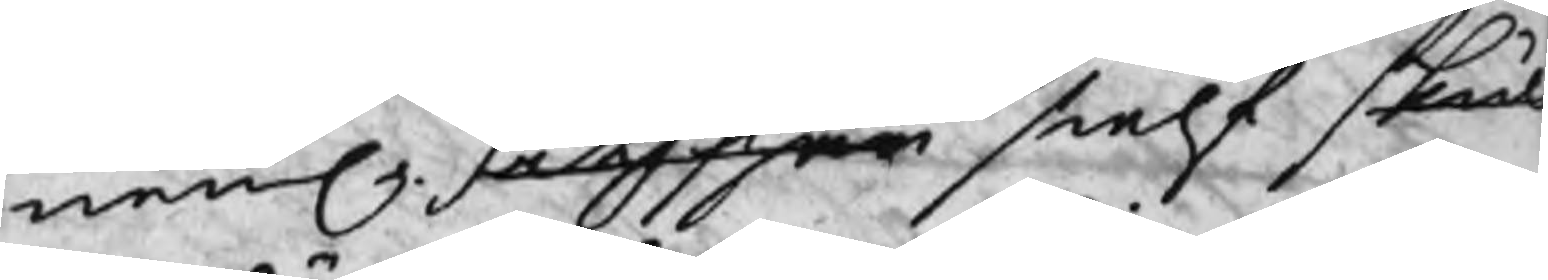neml. Jag har sielf skul
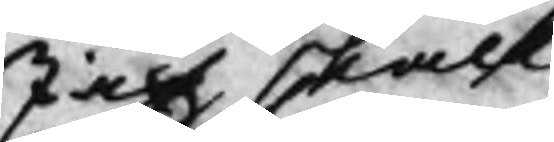Jag skall
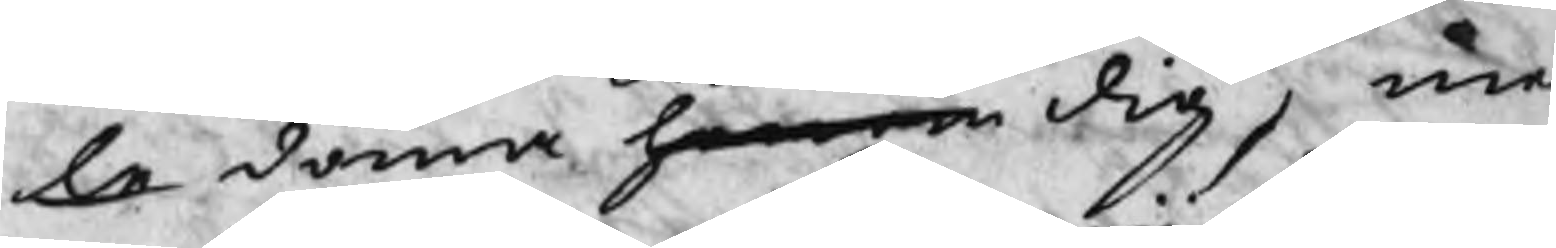le döma honom dig, me
